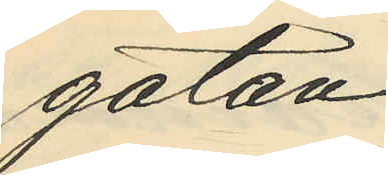gatan;
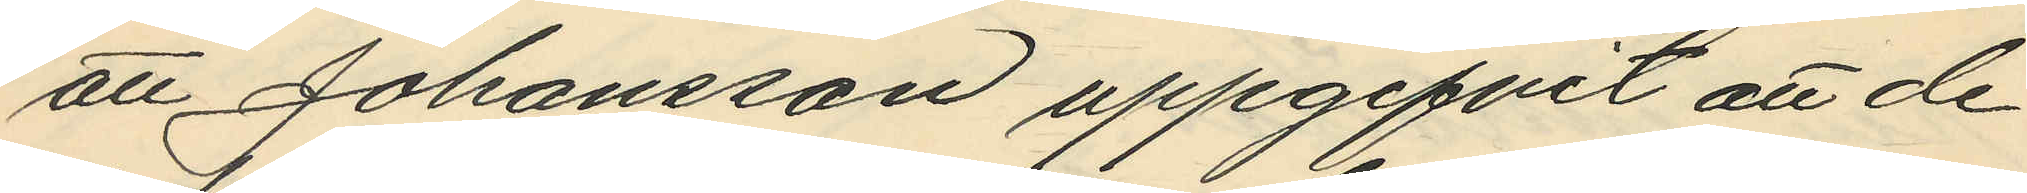att Johansson uppgifvit att de
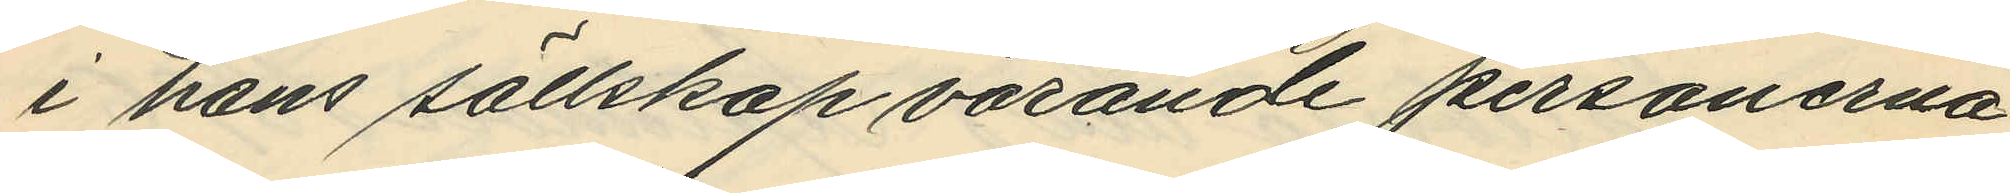i hans sällskap varande personerna
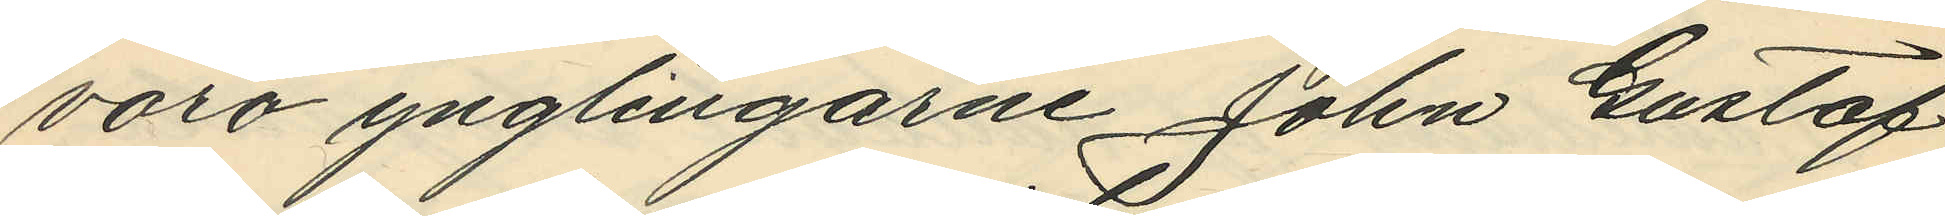varo ynglingarne John Gustaf
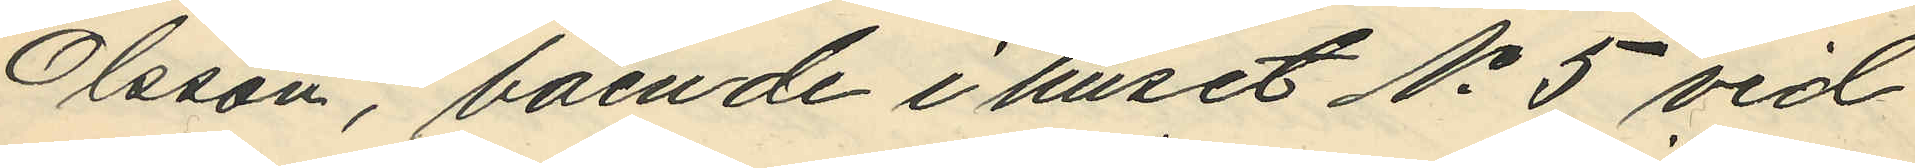Olsson, boende i huset No 5 vid
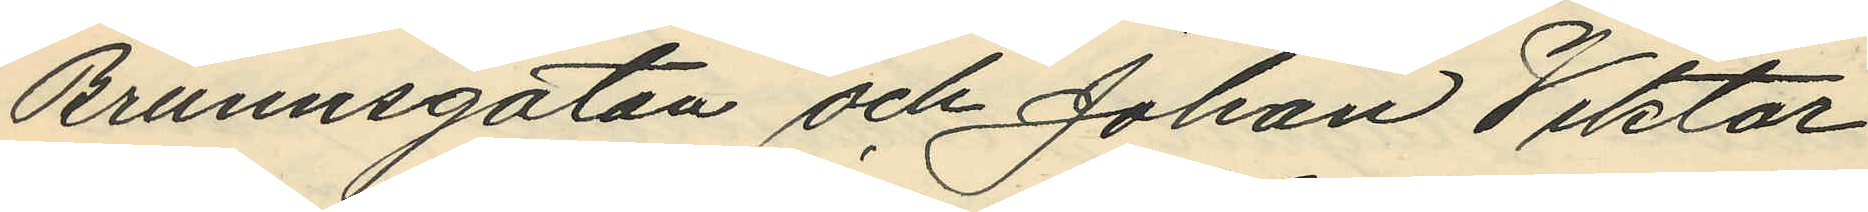Brunnsgatan och Johan Viktor
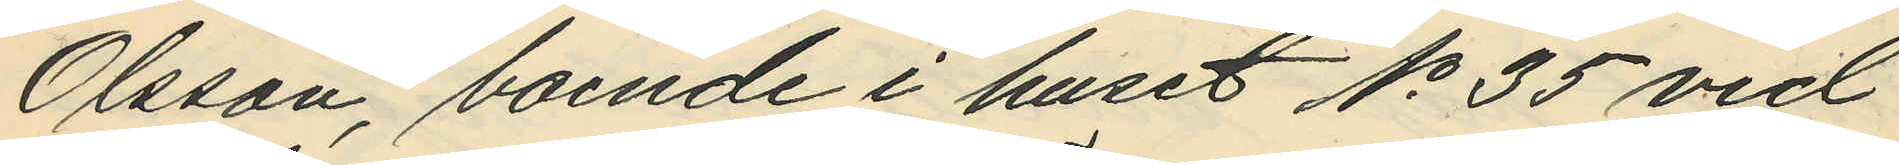Olsson, boende i huset No 35 vid
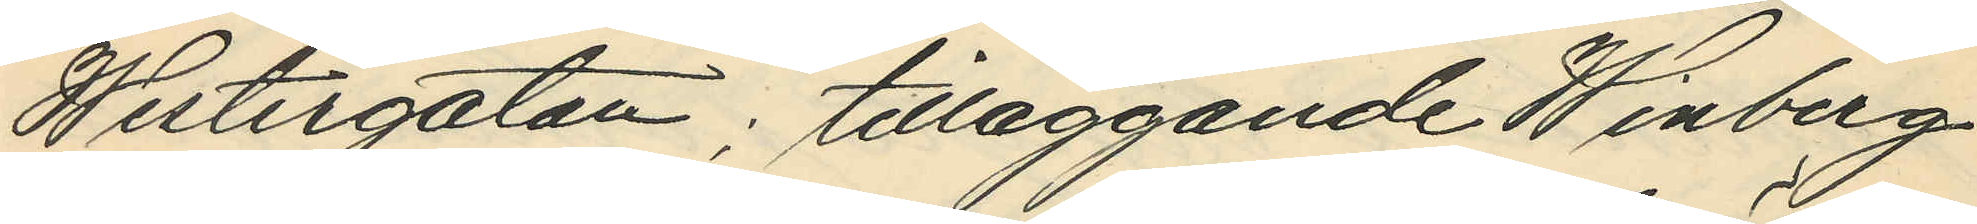Westergatan; tilläggande Winberg
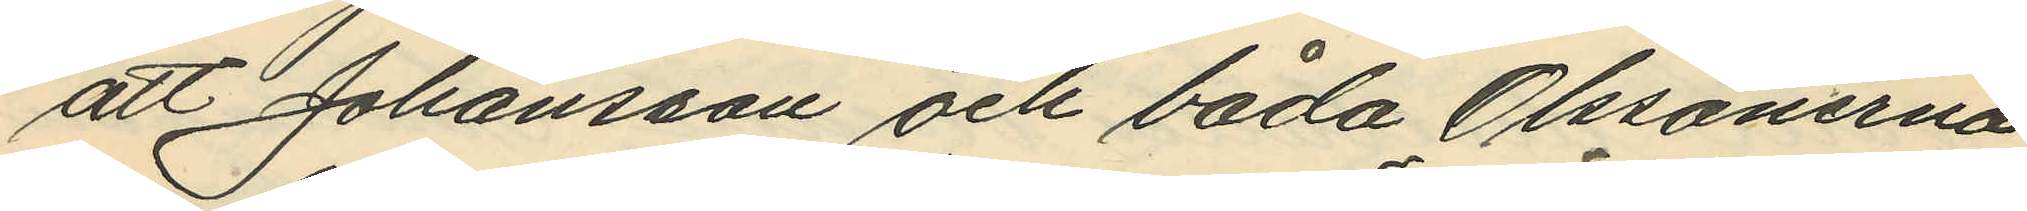att Johansson och båda Olssönerna
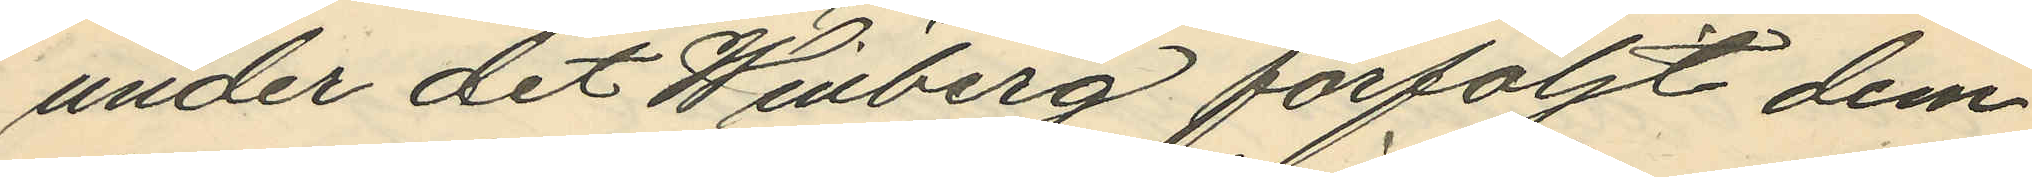under det Winberg förföljt dem
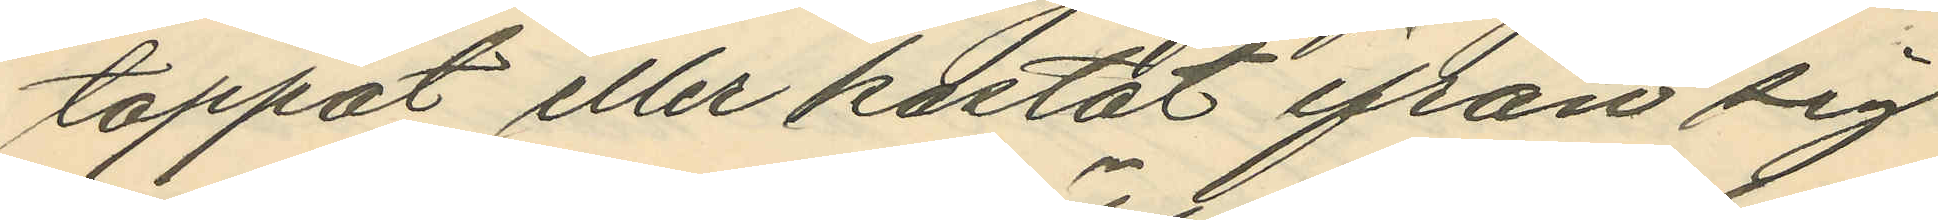tappat eller kastat ifrån sig
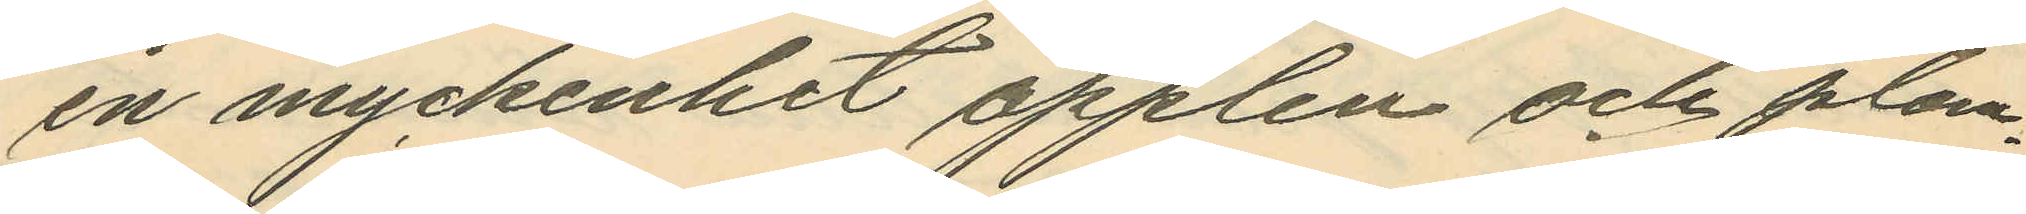en myckenhet äpplen och plom¬
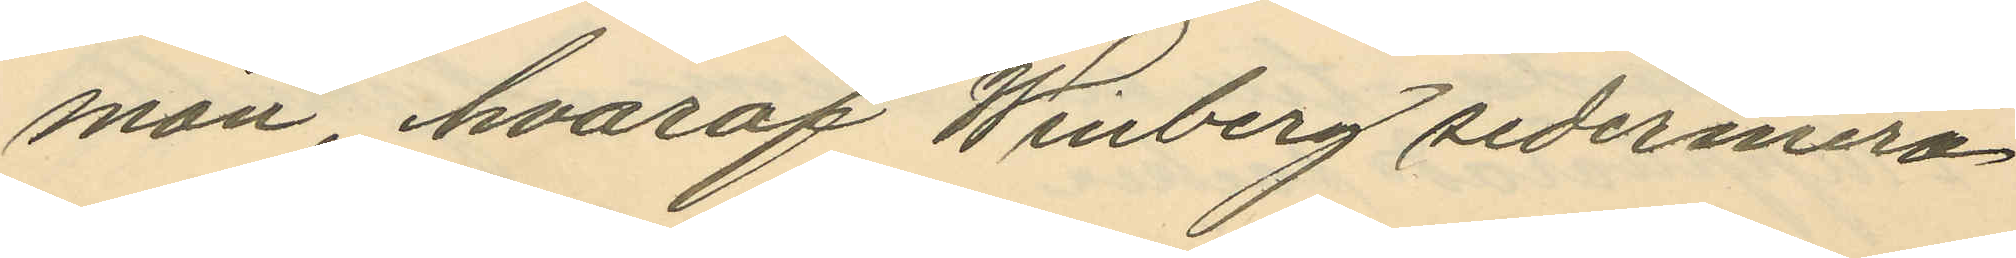mon, hvaraf Winberg sedermera
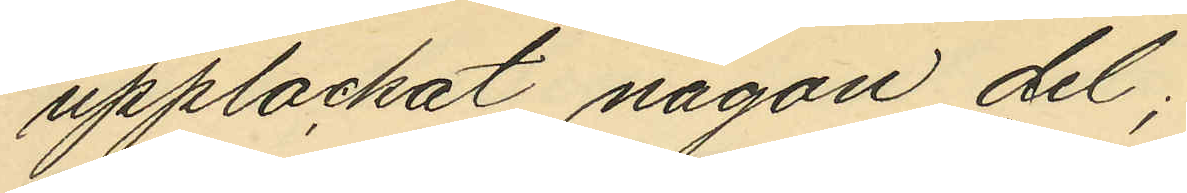upplockat någon del;
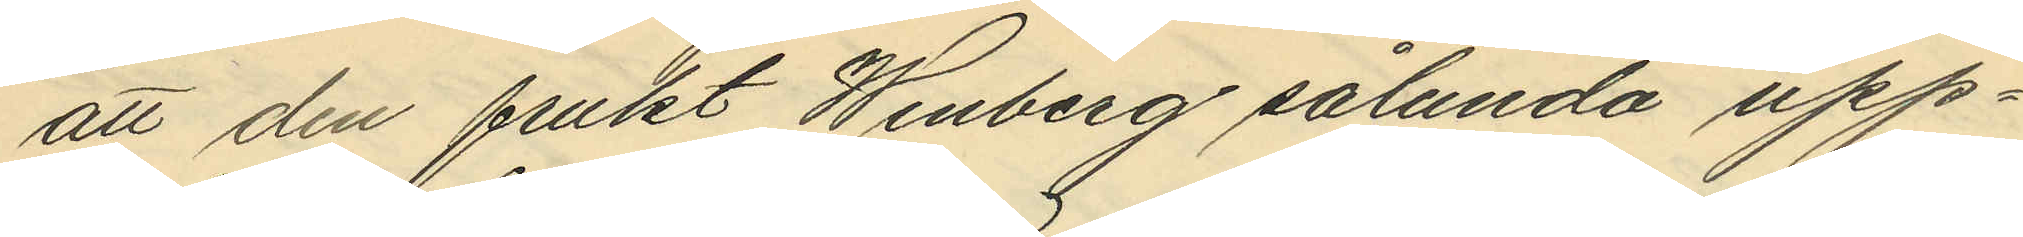att den frukt Winberg sålunda upp¬
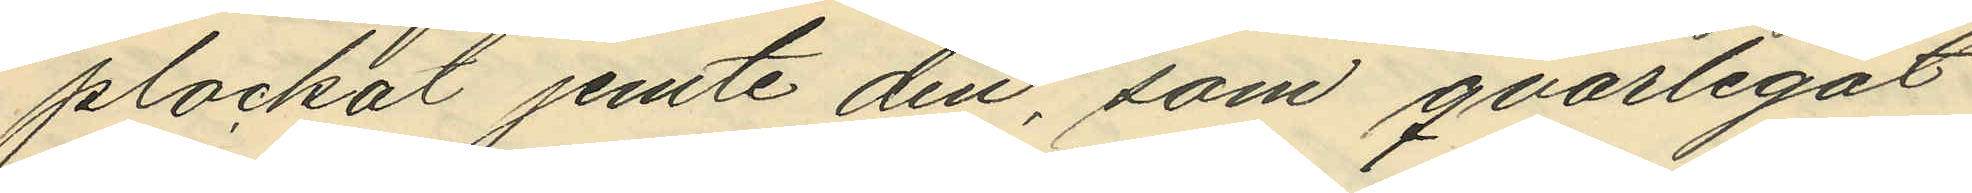plockat jemte den, som qvarlegat
